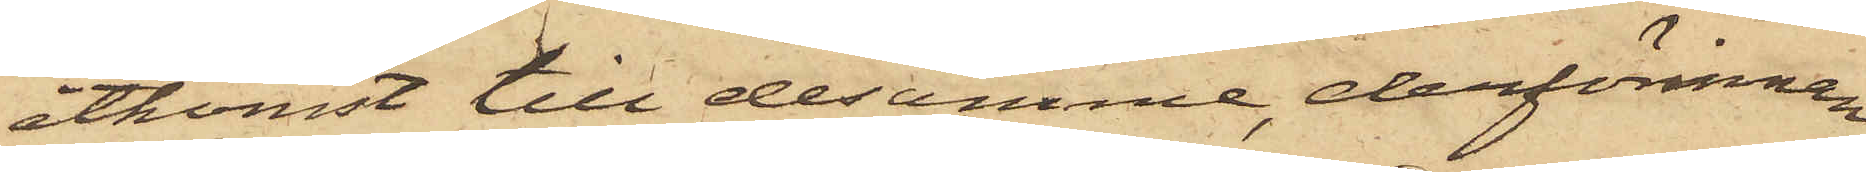åtkomst till desamme, derförinnan
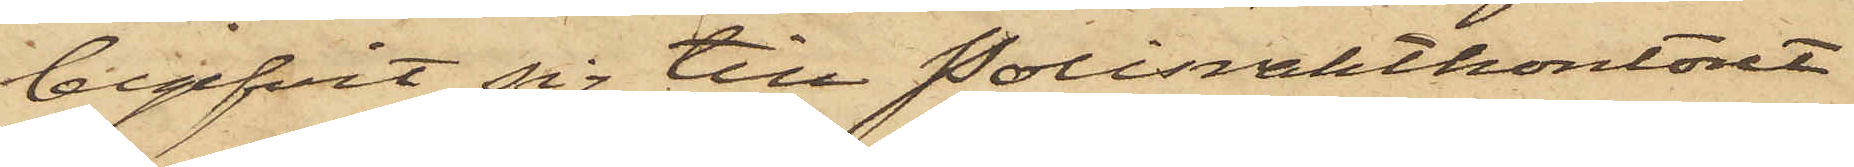begifvit sig till Polisvaktkontoret
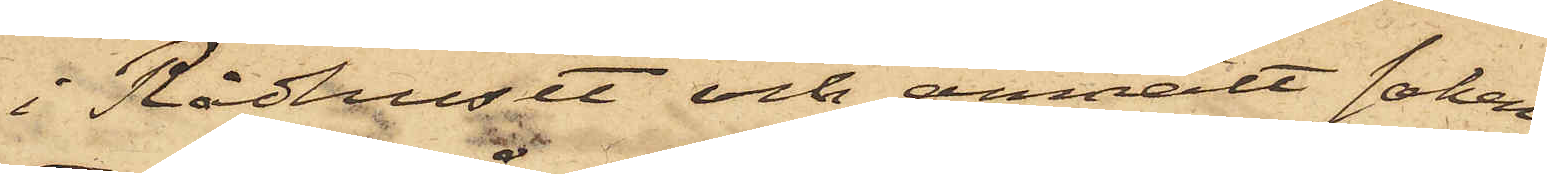i Rådhuset och anmält saken,
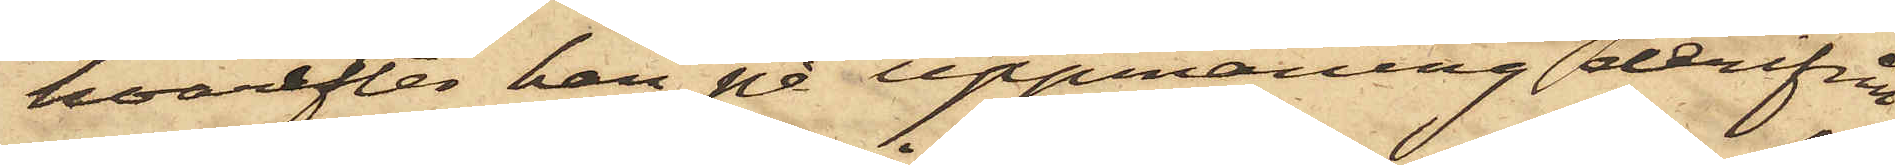hvarefter han på uppmaning derifrån
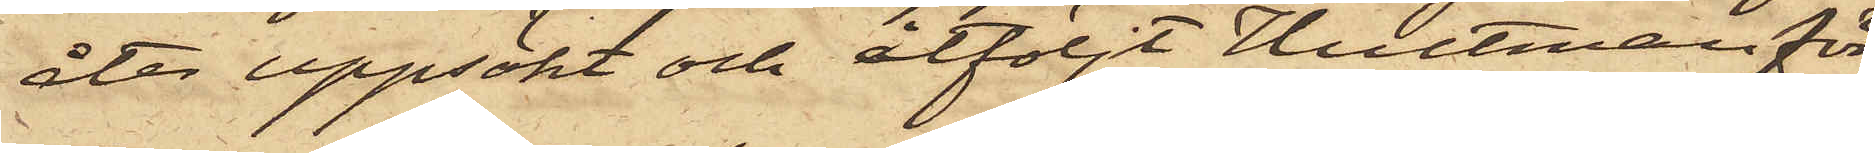åter uppsökt och åtföljt Hultman för
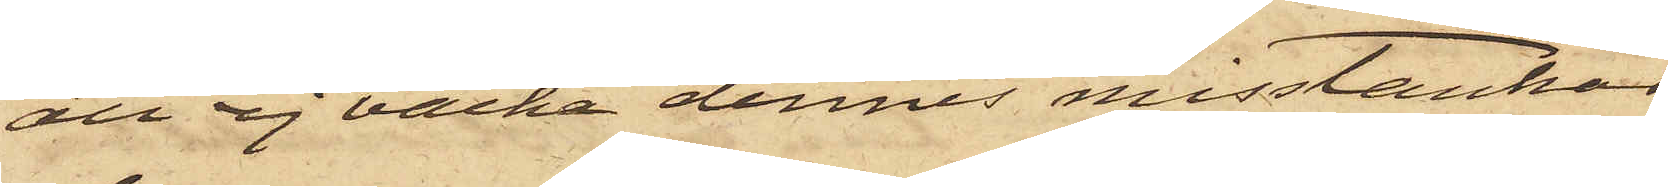att ej väcka dennes misstankar;
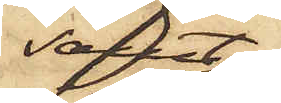samt
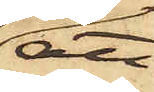att
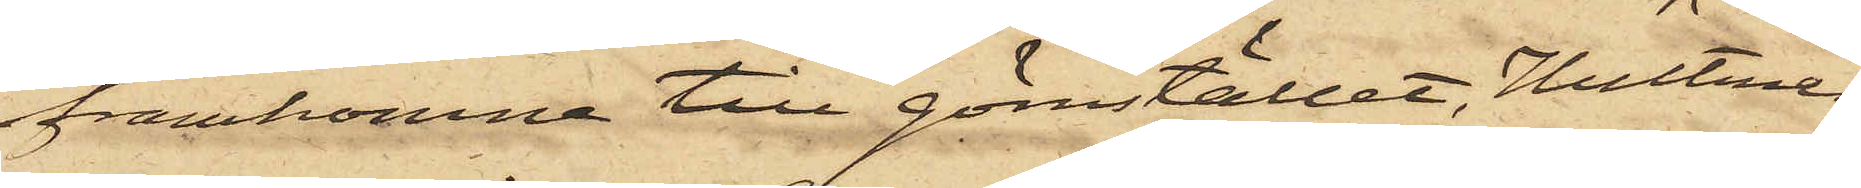framkomna till gömstället, Hultman
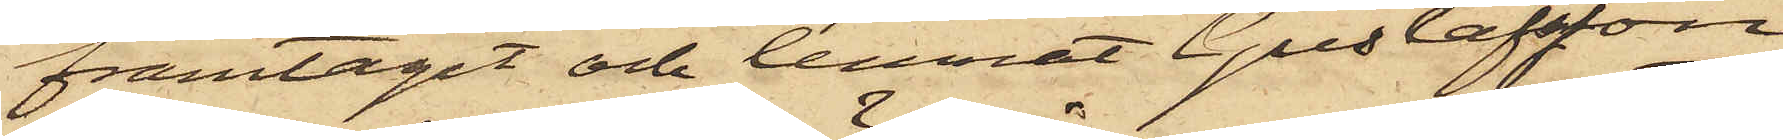framtagit och lemnat Gustafsson
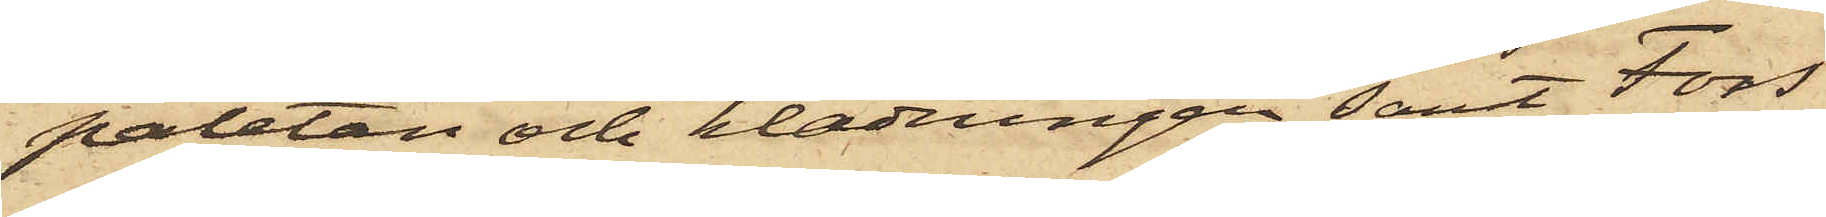paletån och klädningen samt Fors
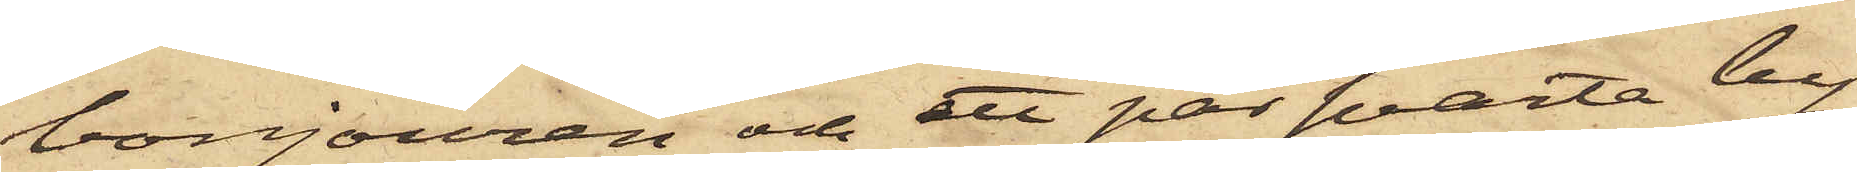bonjouren och ett par svarta by¬
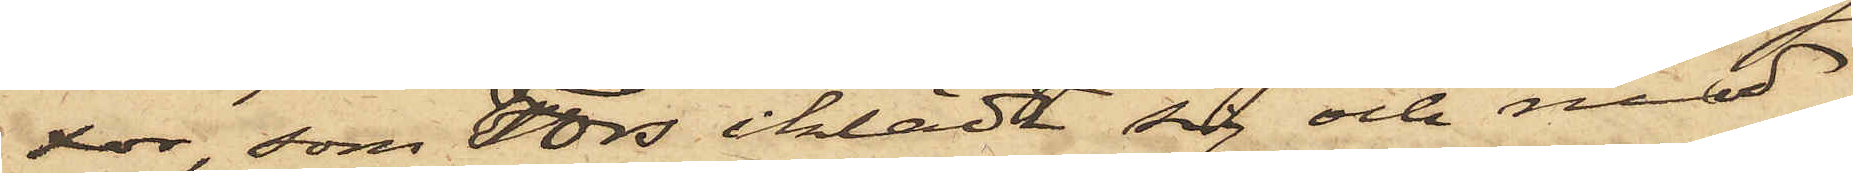xor, som Fors iklädt sig och med
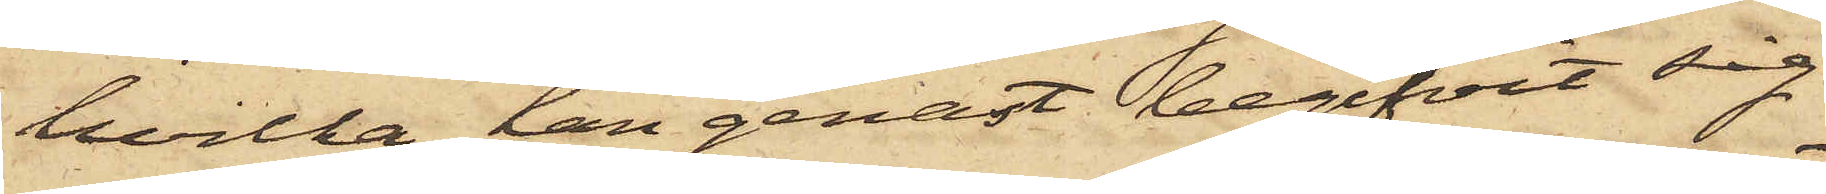hvilka han genast begifvit sig
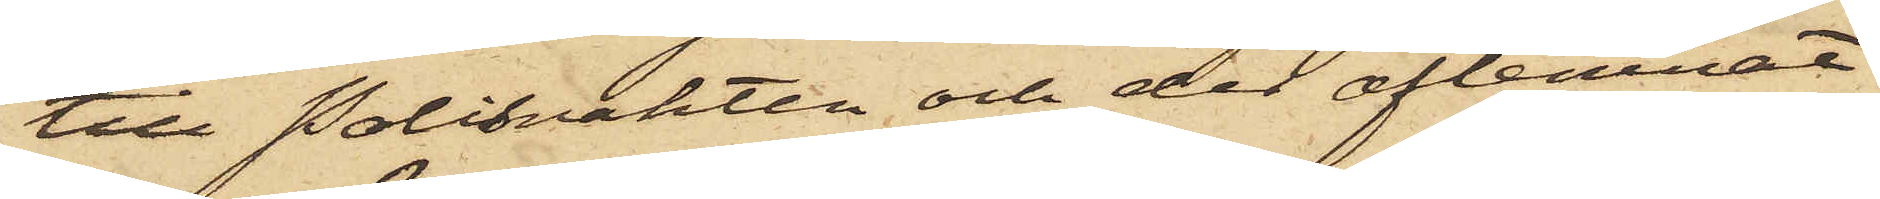till Polisvakten och der aflemnat.
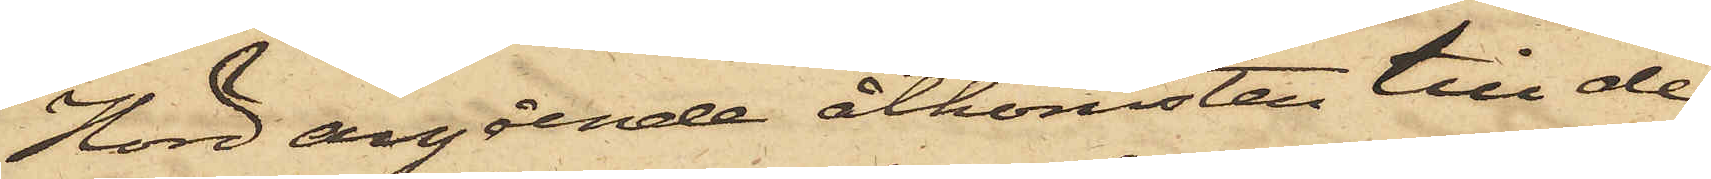Hörd angående åtkomsten till de
